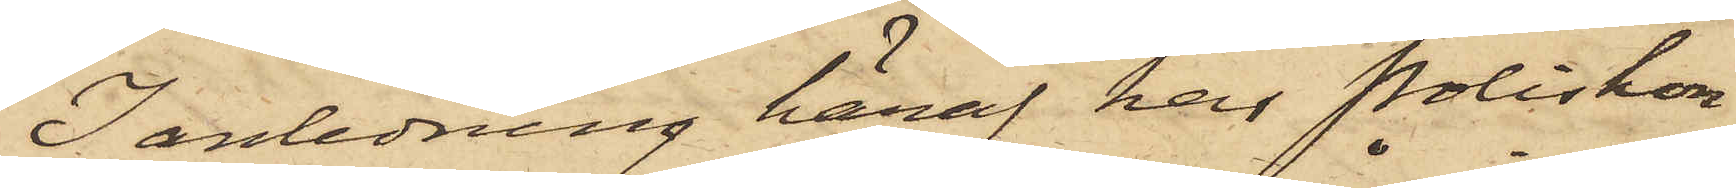I anledning häraf har Poliskon¬
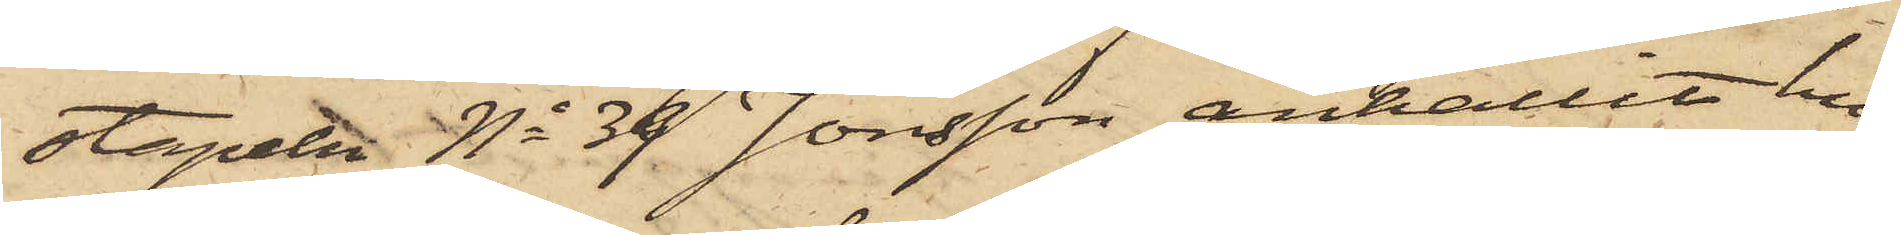stapeln No 39 Jonsson anhållit hu¬
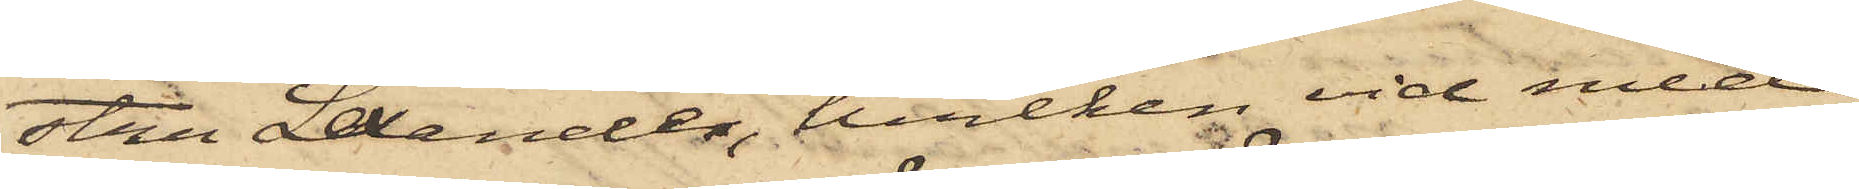stru Lexander, hvilken vid med
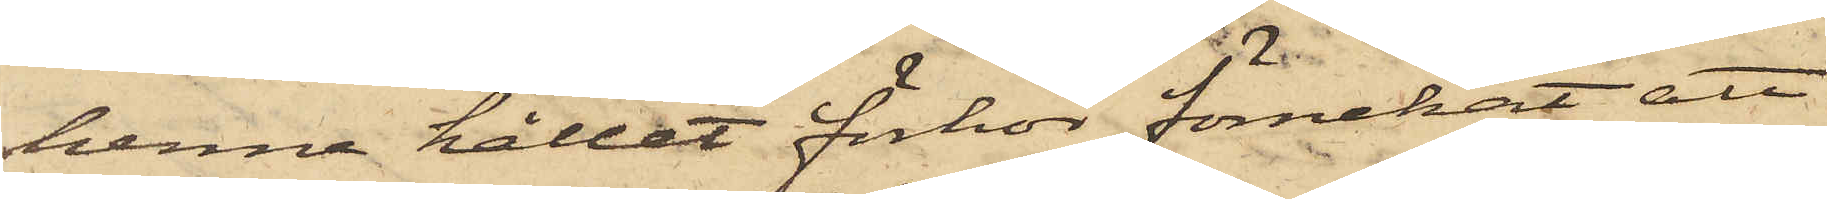henne hållet förhör förnekat att
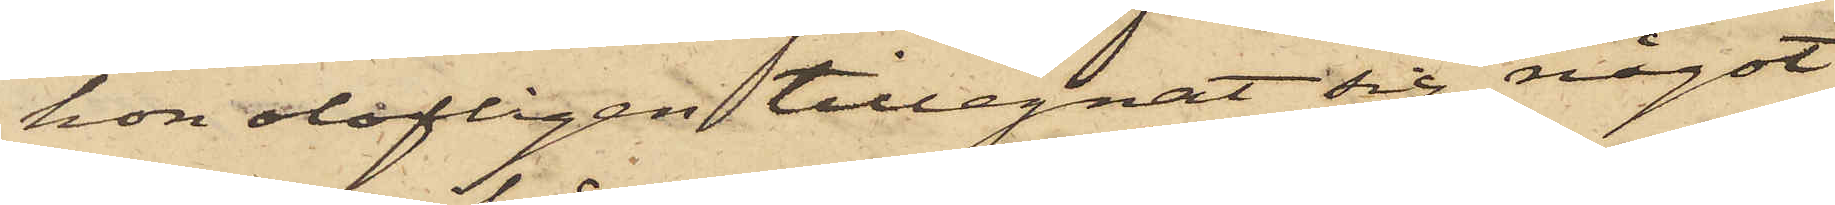hon olofligen tillegnat sig något
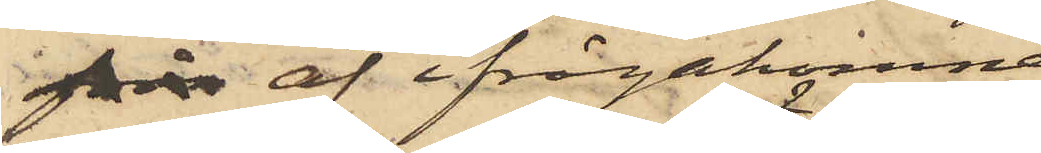frå af ifrågakomne
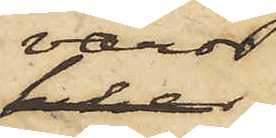varor,
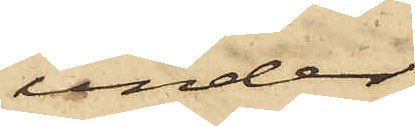under
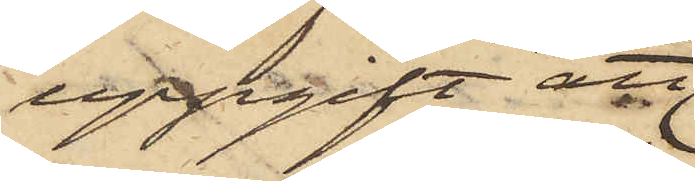uppgift att
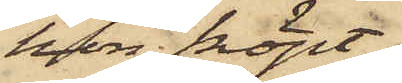hon köpt
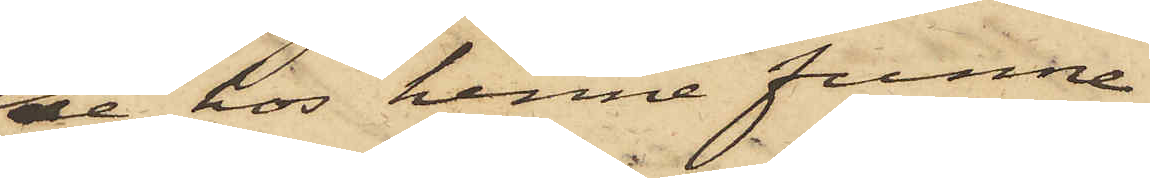de hos henne funne
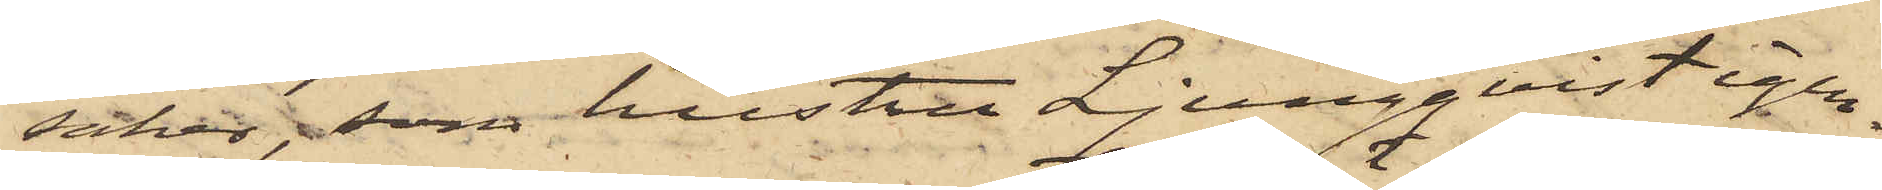saker, som hustru Ljungqvist igen¬
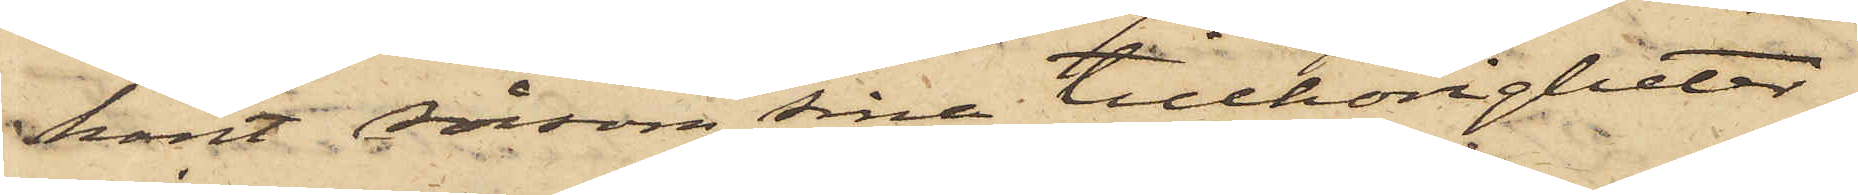känt såsom sina tillhörigheter;
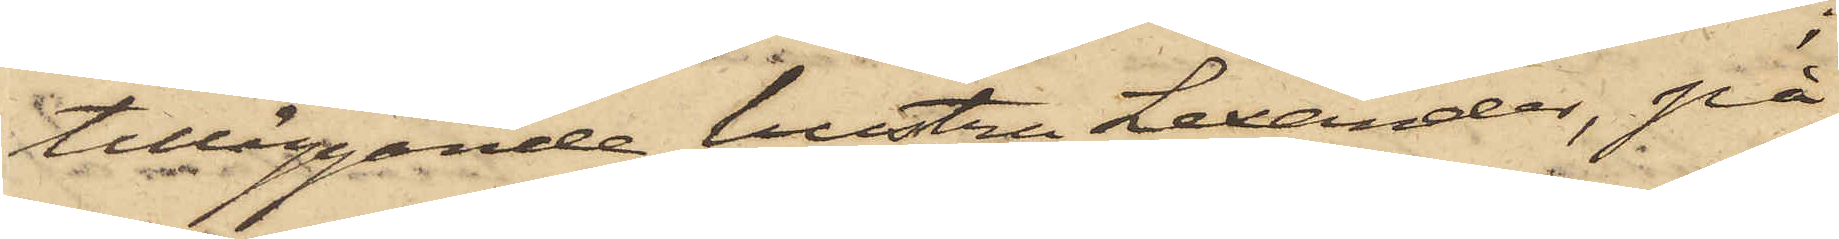tilläggande hustru Lexander, på
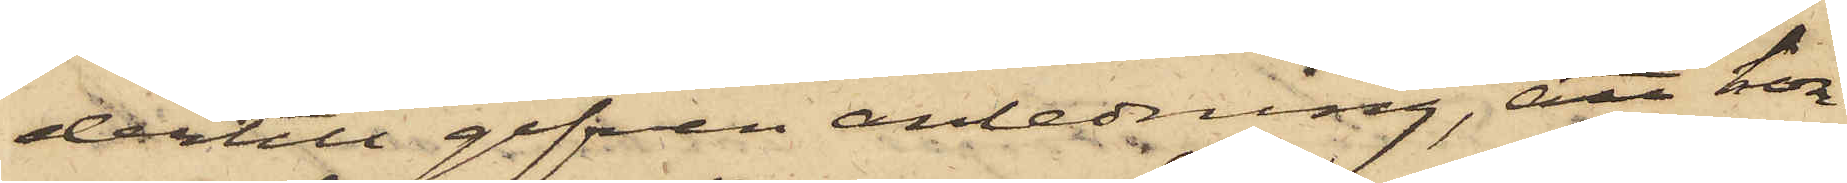dertill gifven anledning, att hon
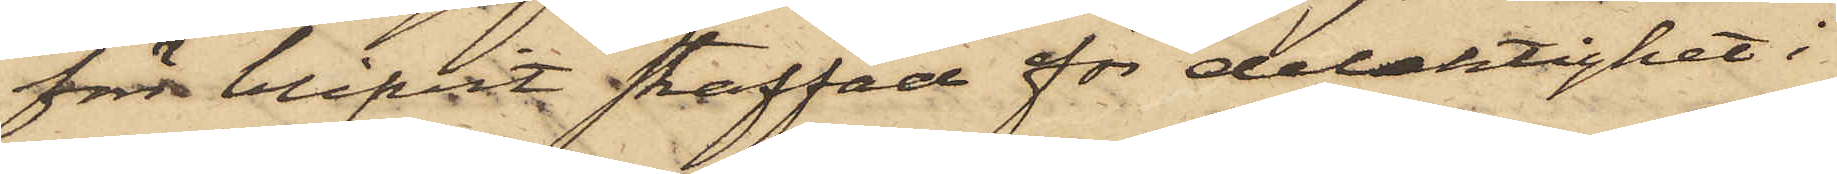förr blifvit straffad för delaktighet i
